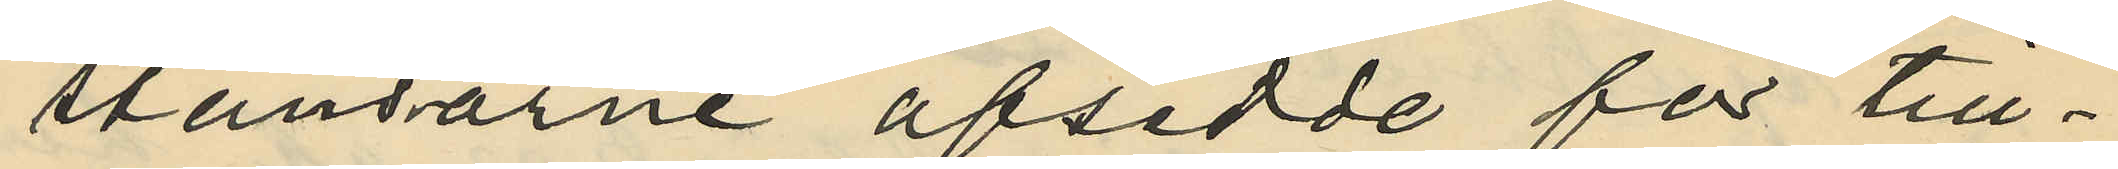stansarne afsedde för till¬
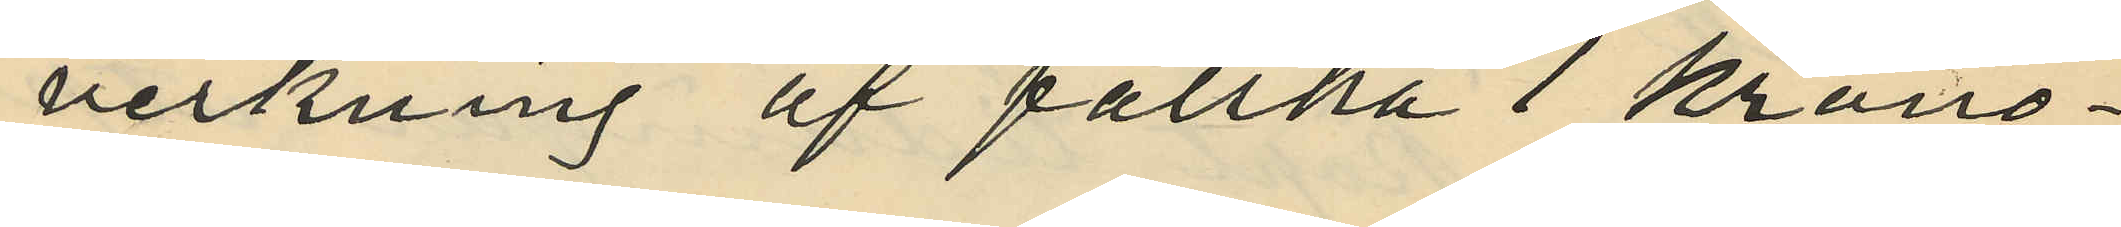verkning af falska 1 krono¬
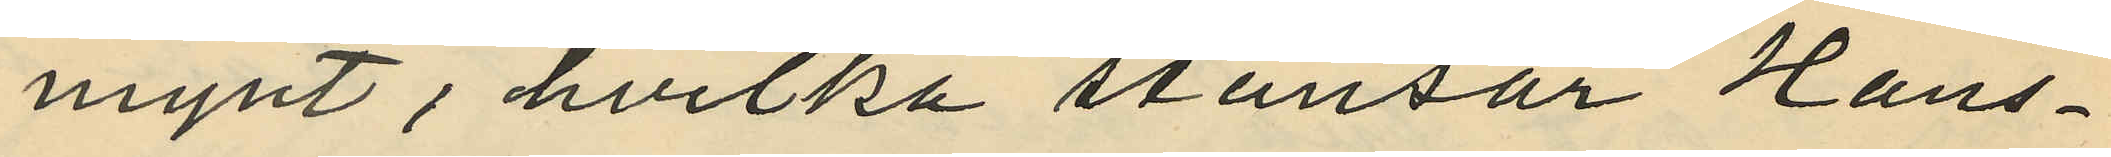mynt, hvilka stansar Hans¬
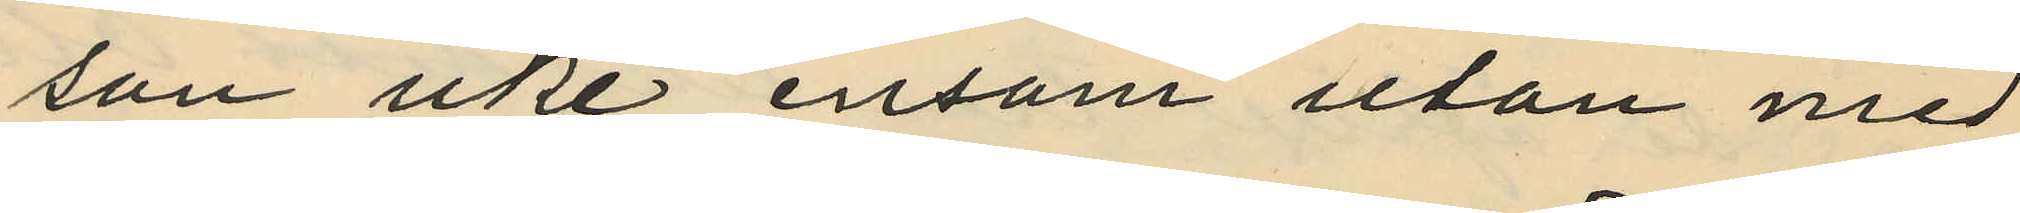son icke ensam utan med
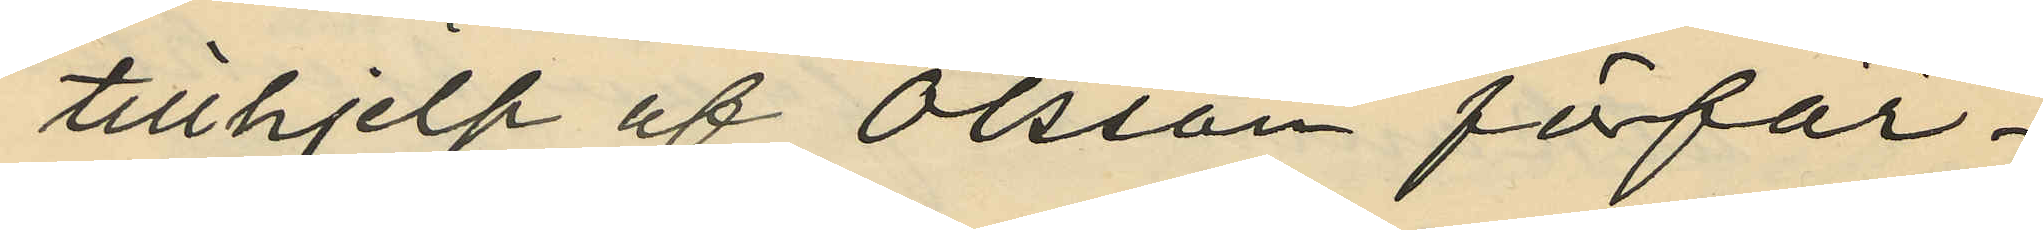tillhjelp af Olsson förfär¬
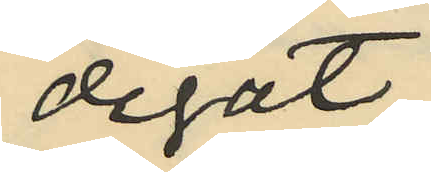digat;
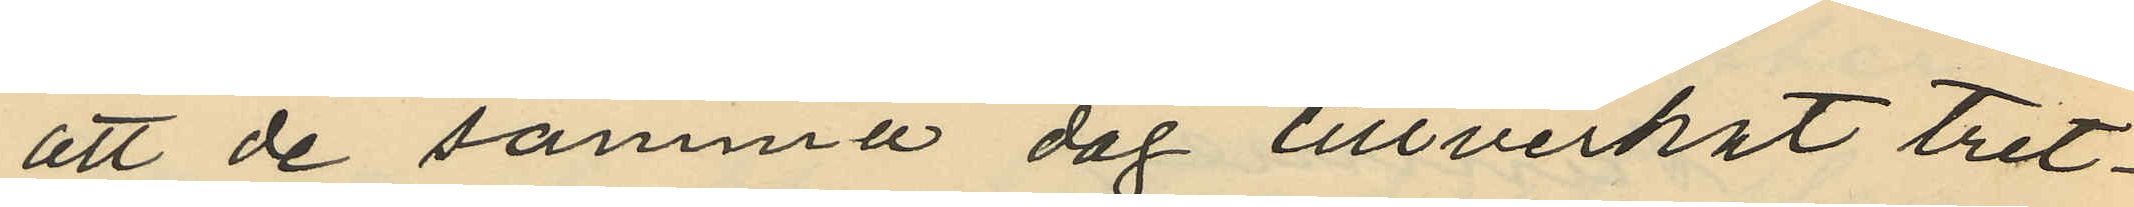att de samma dag tillverkat tret¬
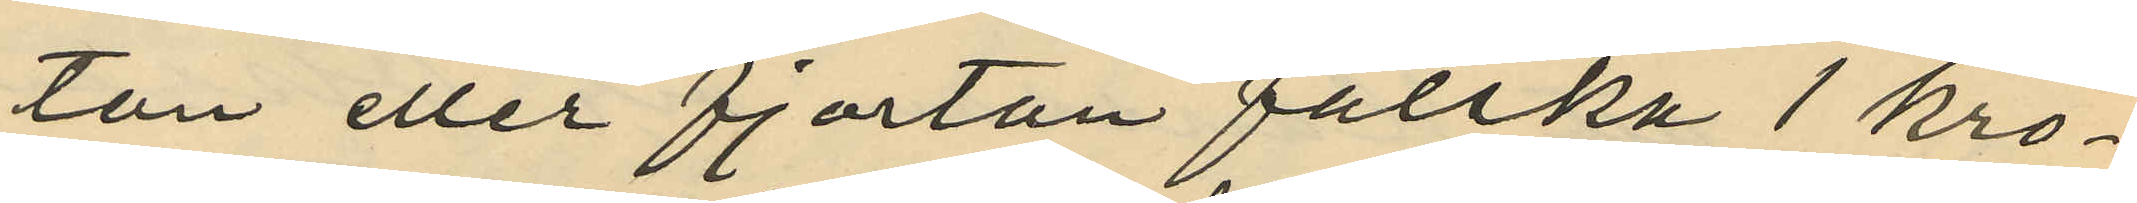ton eller fjorton falska 1 kro¬
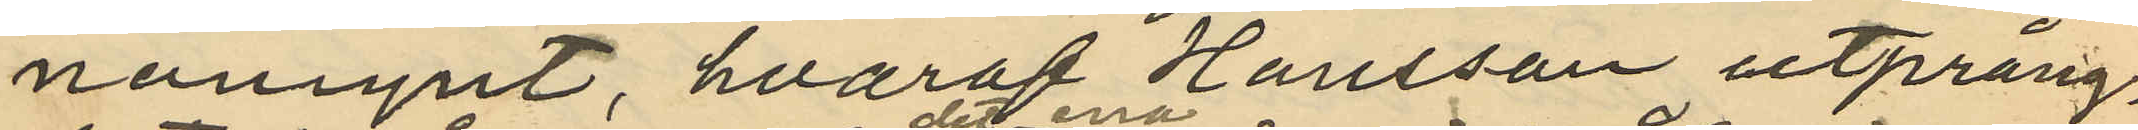nomynt, hvaraf Hansson utprång¬
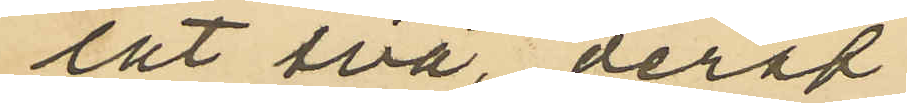lat två, deraf
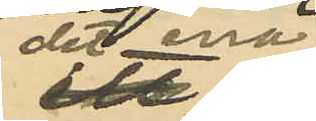det ena
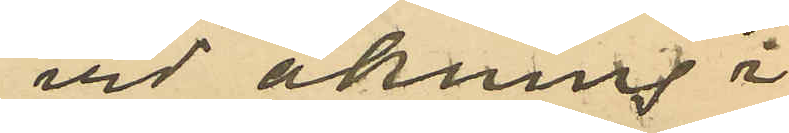vid åkning å
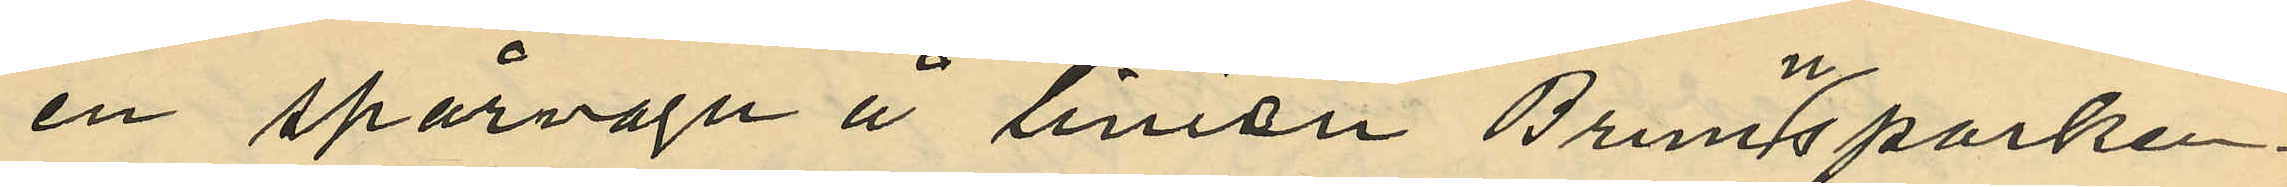en spårvagn å linien Brunnsparken -
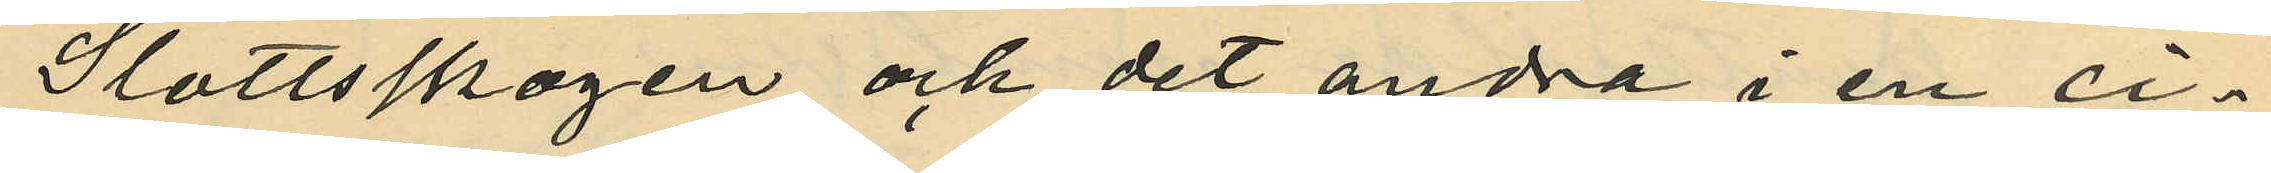Slottsskogen och det andra i en ci¬
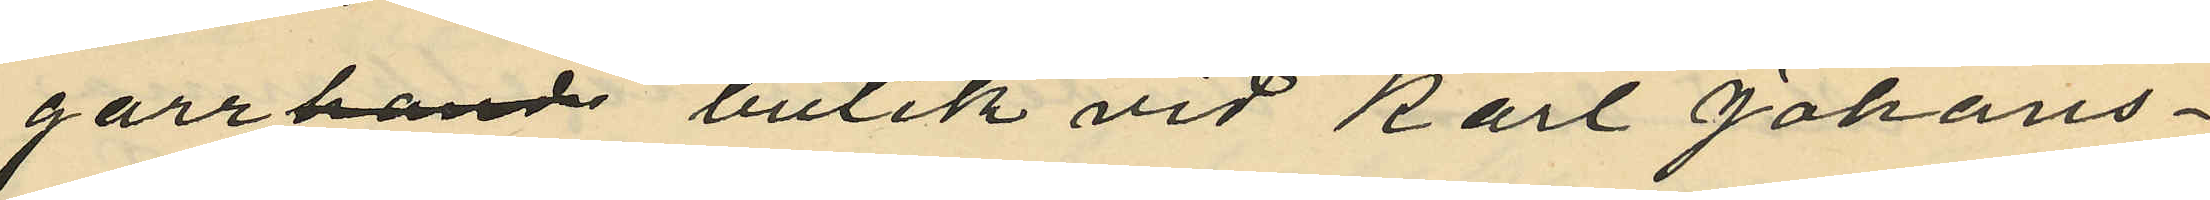garrbutik vid Karl Johans¬
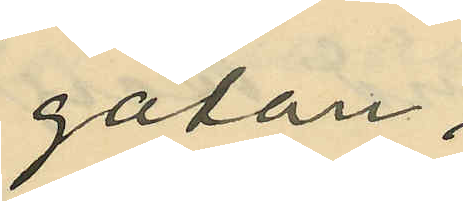gatan;
